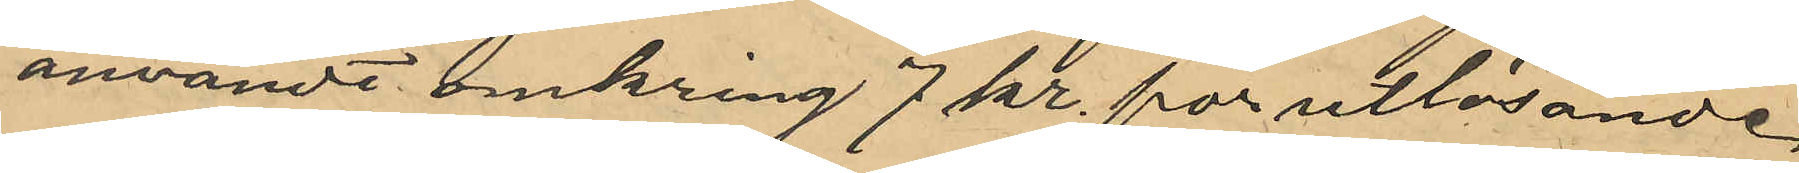användt omkring 7 kr. för utlösande
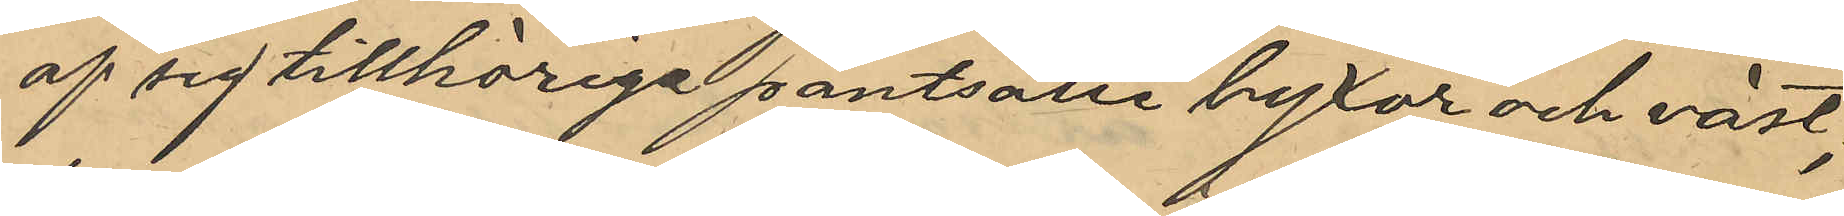af sig tillhörig pantsatta byxor och väst;
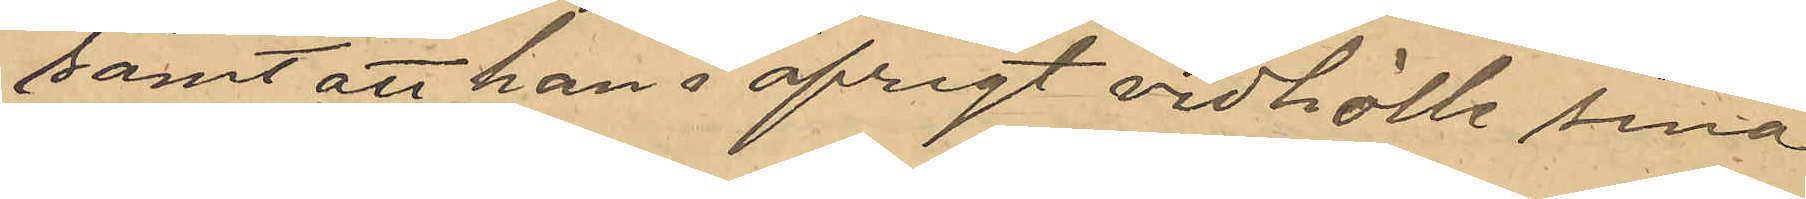samt att han i öfrigt vidhölle sina
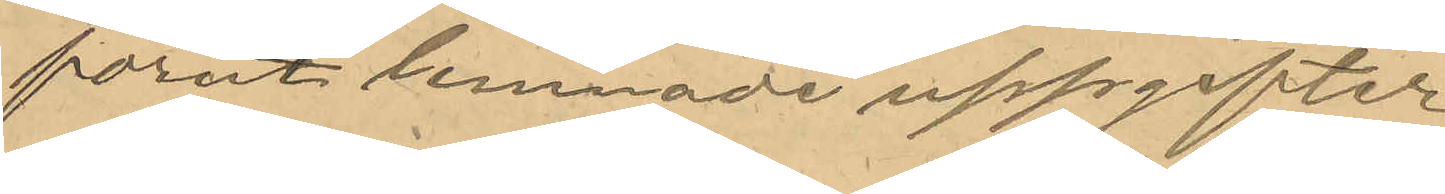förut lemnade uppgifter.
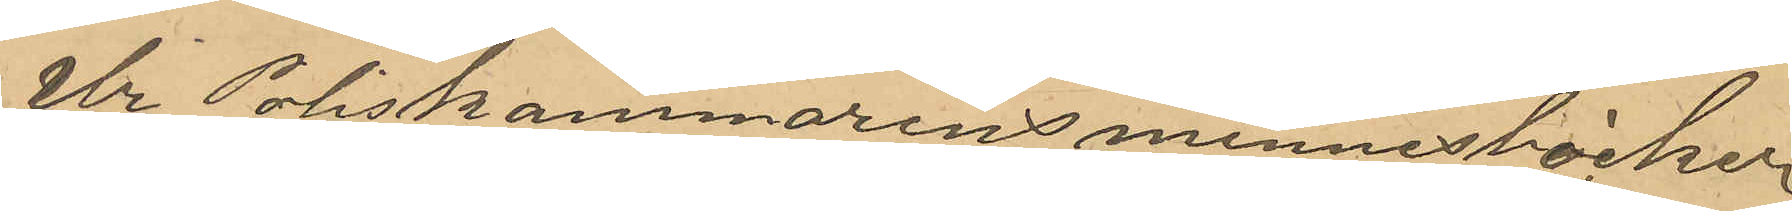Ur Poliskammarens minnesböcker
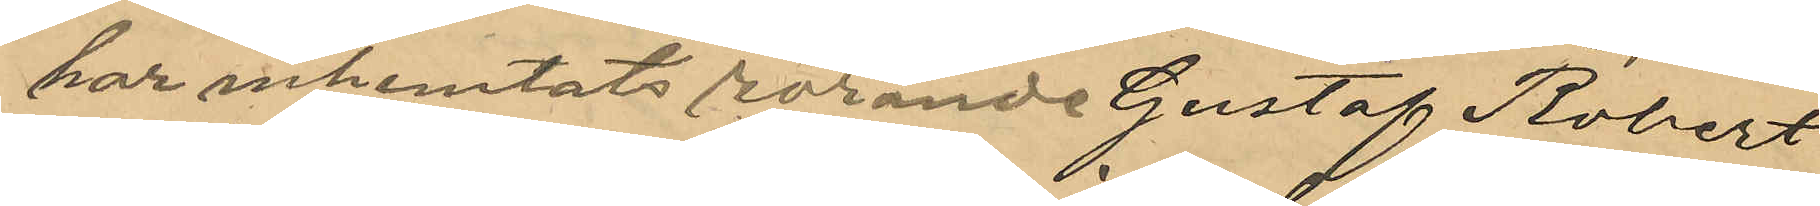har inhemtats rörande Gustaf Robert
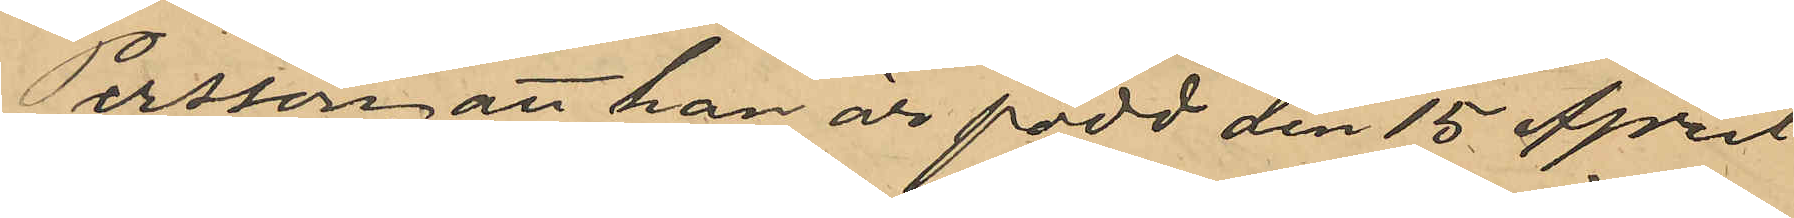Persson att han är född den 15 April
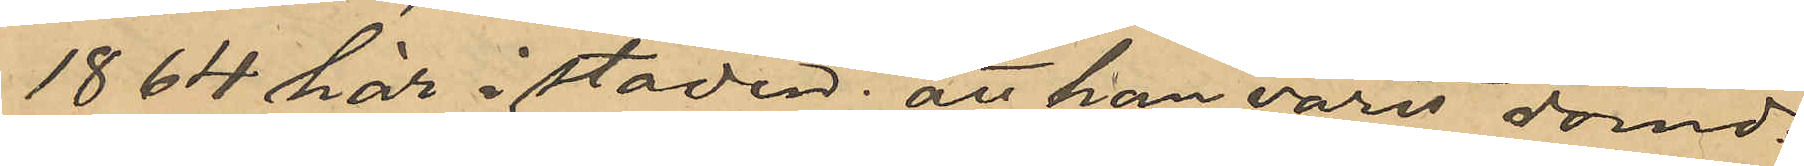1864 här i staden; att han varit dömd:
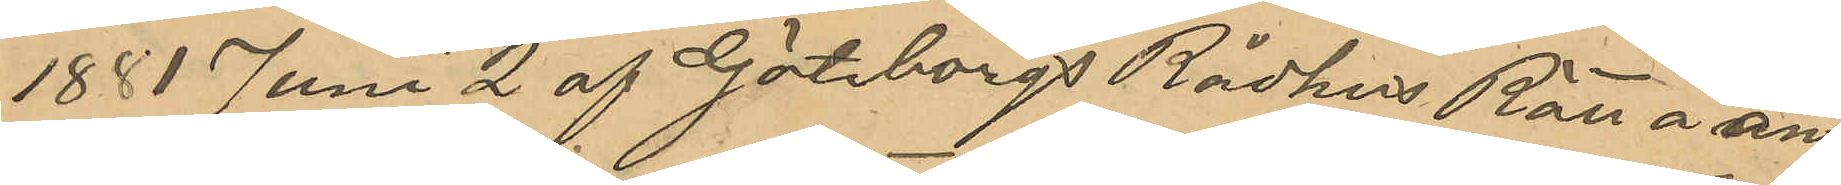1881 Juni 2 af Göteborgs Rådhus Rätt å an¬
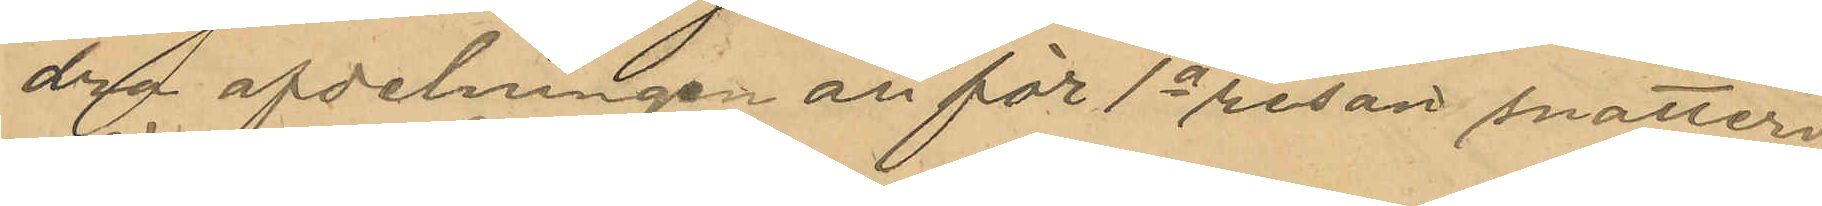dra afdelningen att för 1a resan snatteri
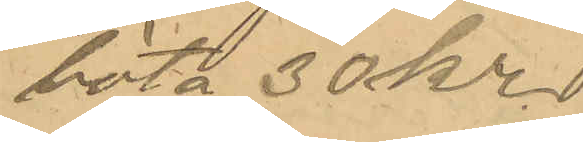böta 30 kr.
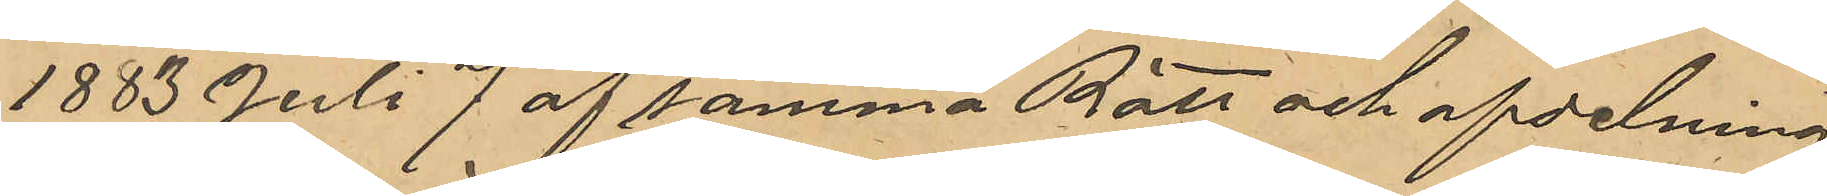1883 Juli 7 af samma Rätt och afdelning
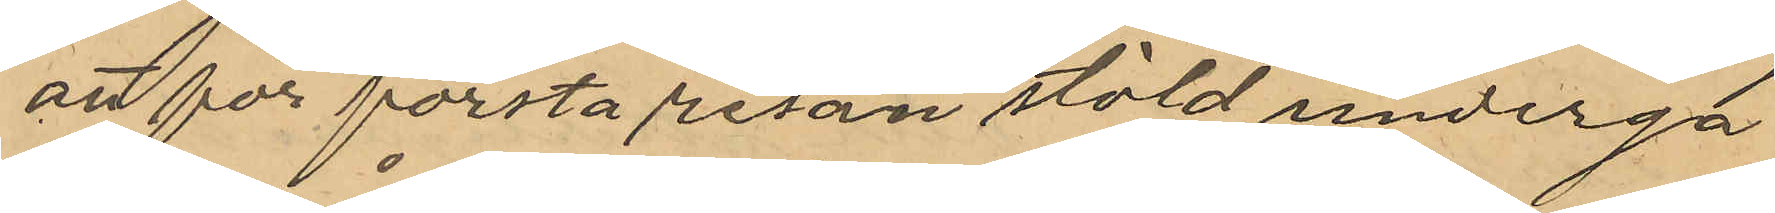att för första resan stöld undergår
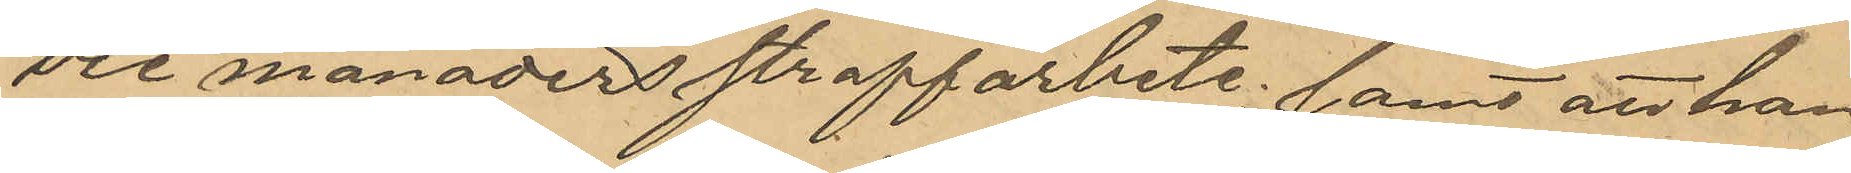tre månaders straffarbete; samt att han
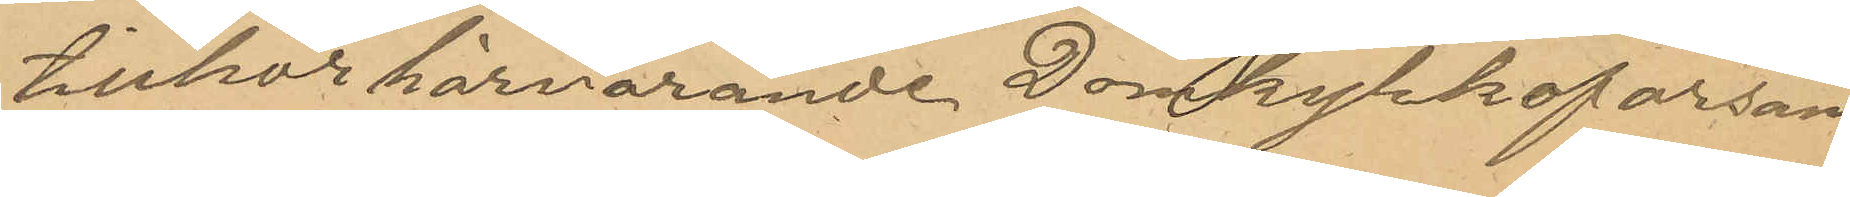tillhör härvarande Domkyrkoforsam¬
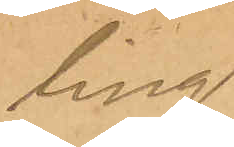ling.
